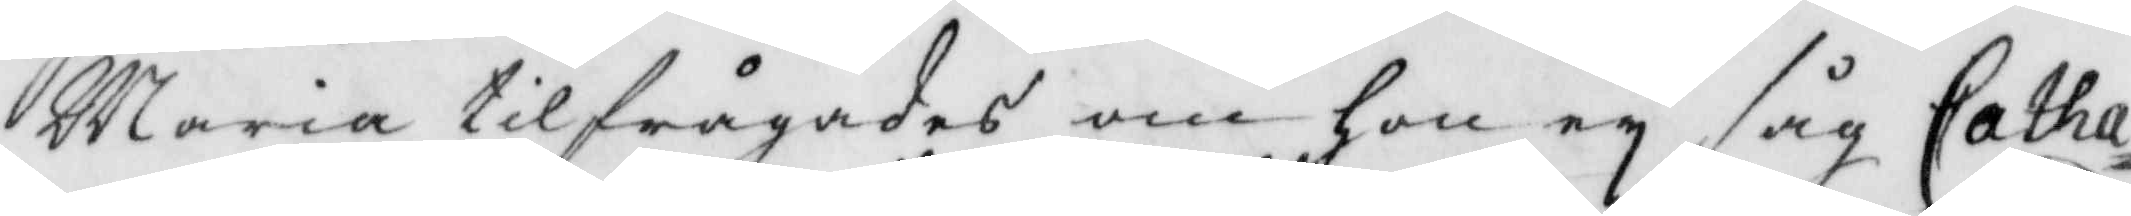Maria tilfrågades om hon ey såg Catha¬
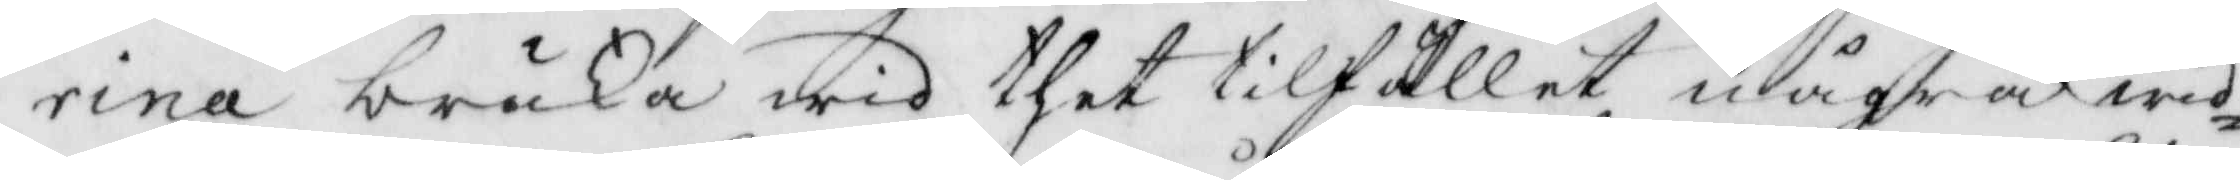rina bruka wid thet tillfället några wid¬
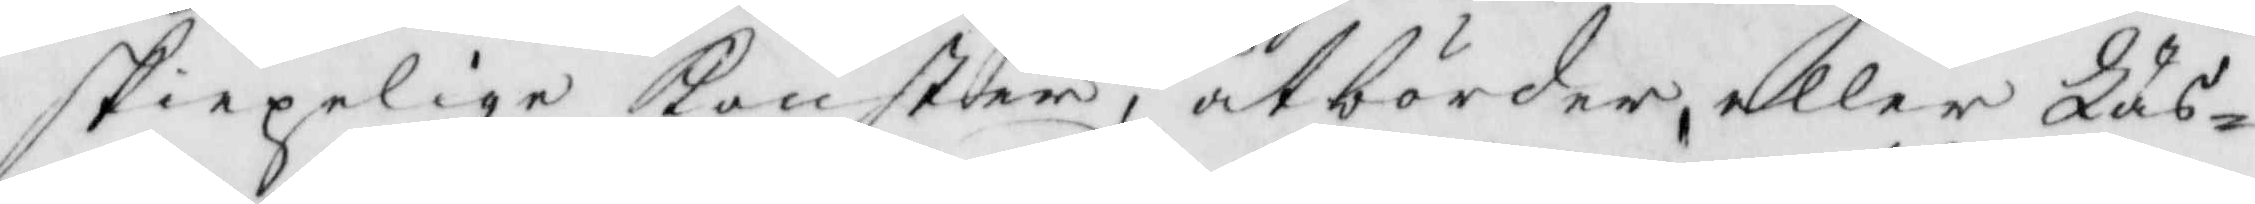skiepelige konster, åtbörder, eller Läs¬
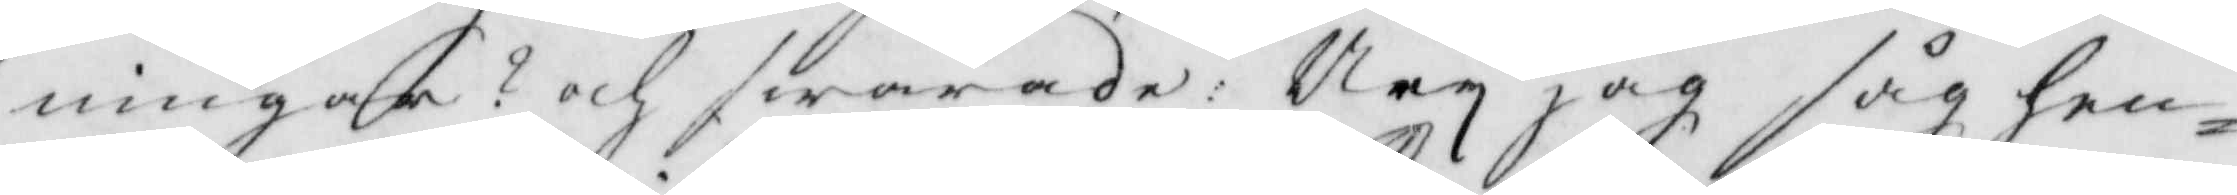ningar? och swarade: Ney jag såh hen¬
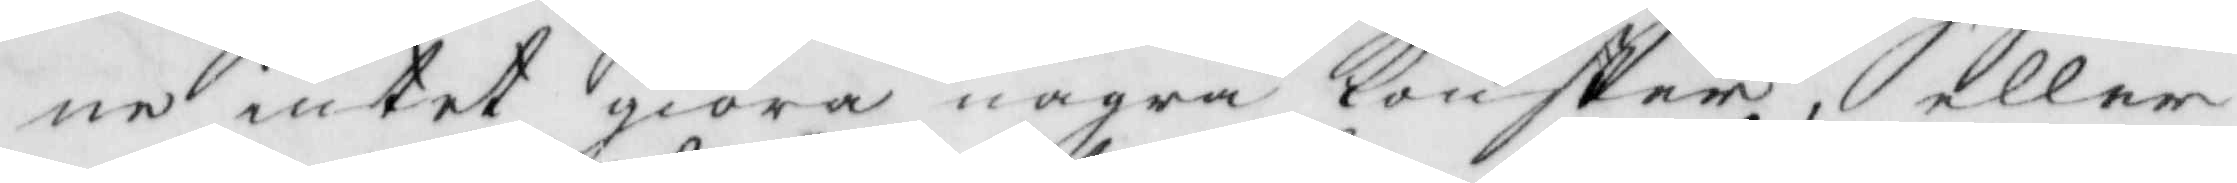ne intet giöra några konster, eller
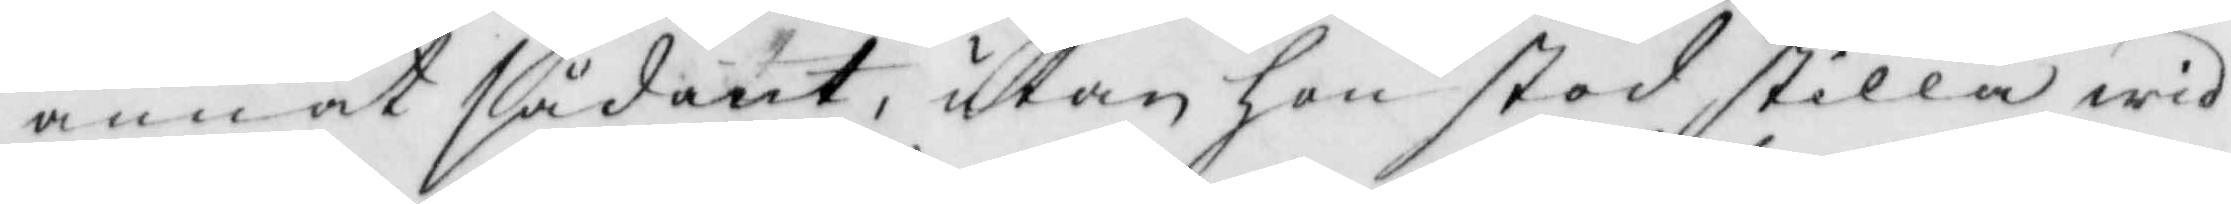annat sådant, utan hon stod stilla wid
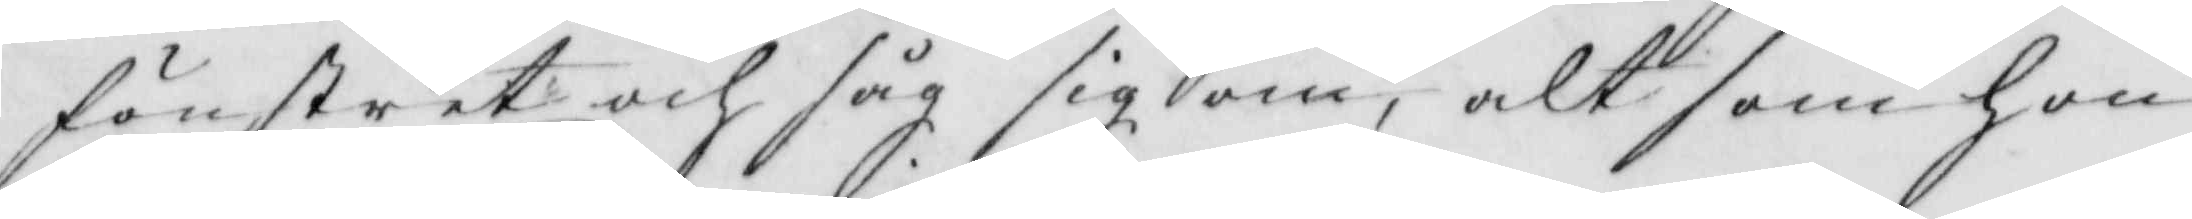fönstret och såg sig om, alt som hon
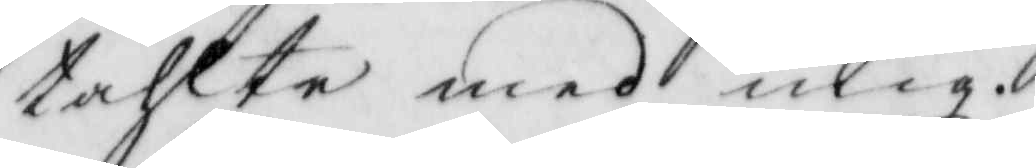tahlte med mig.
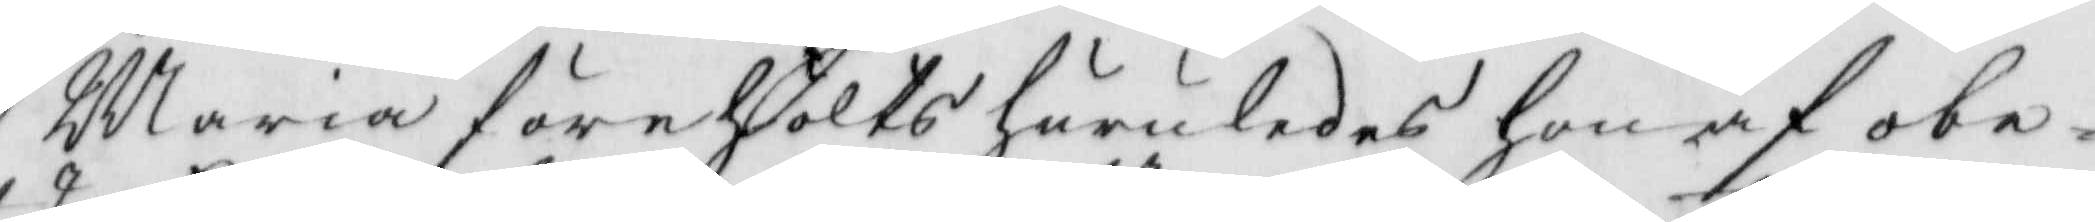Maria förehölts huruledes hon af obe¬
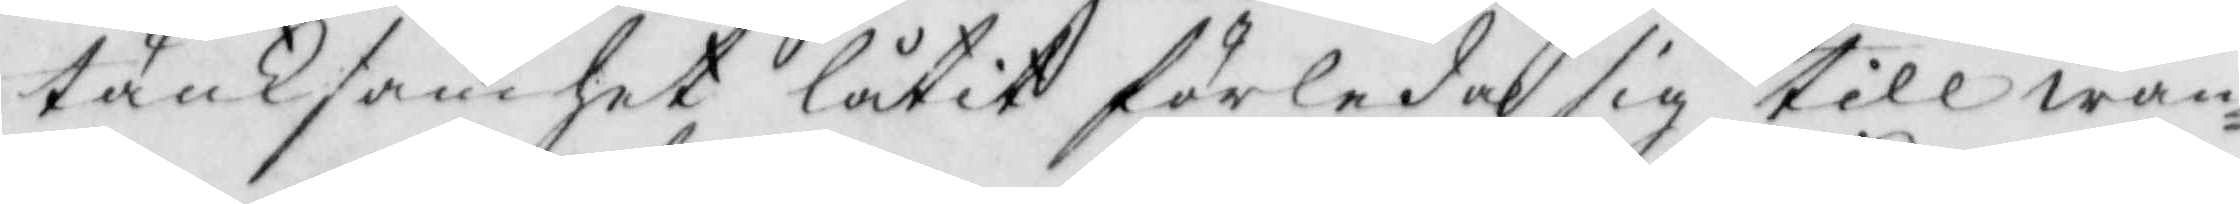tänksamhet låtir förleda sig till wan¬
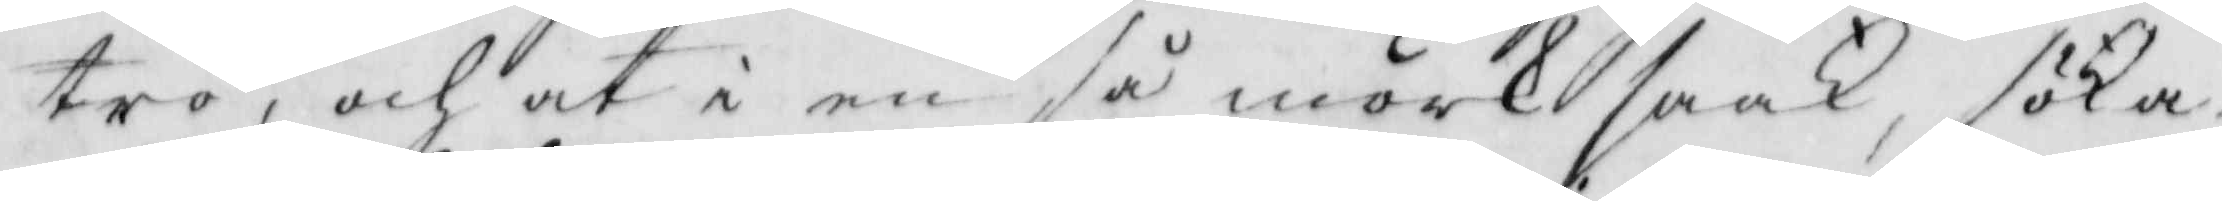tro, och at i en så mörk saak, söka
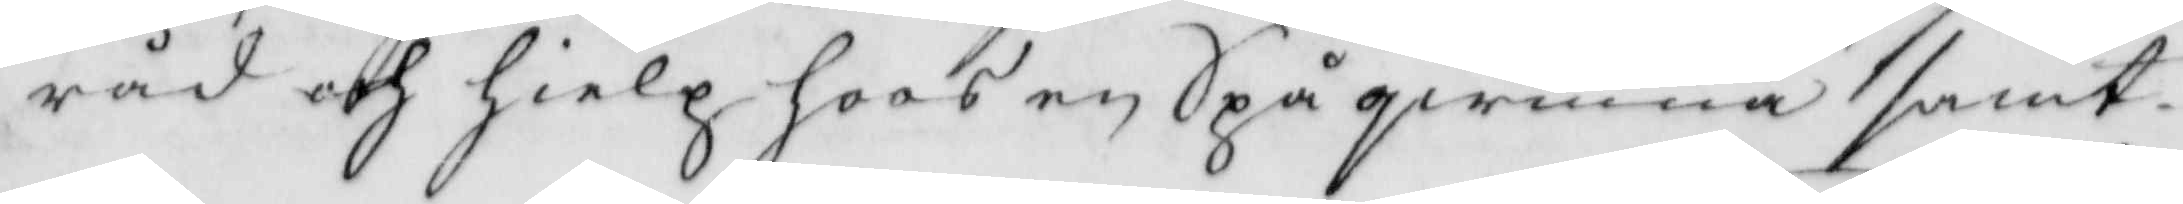råd och hielp hoos en Spåqwinna samt
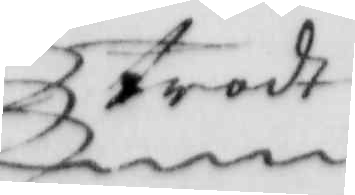trodt
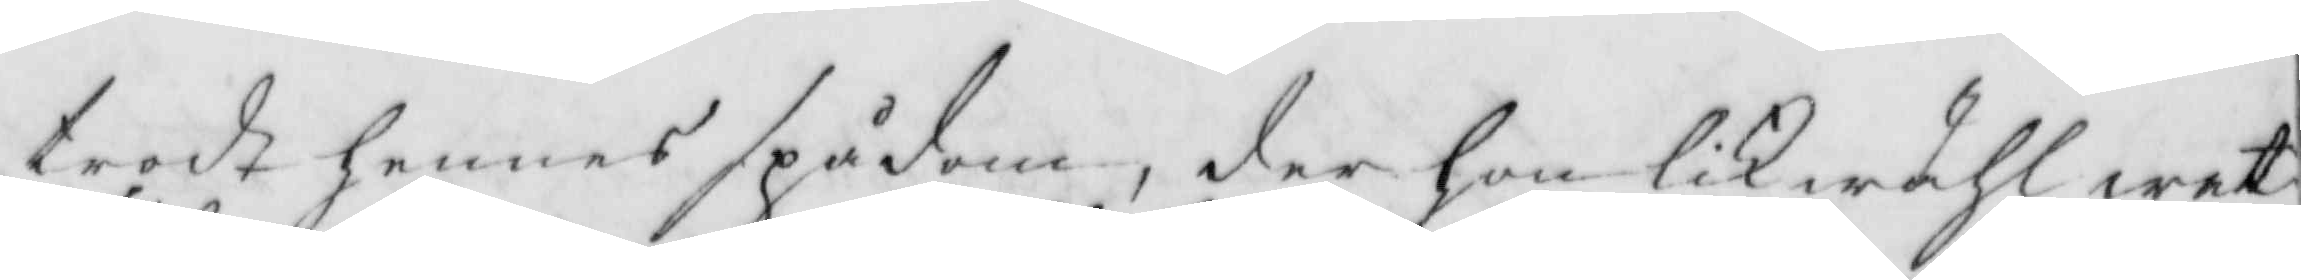trodt hennes spådom, der hon liöwähl wet
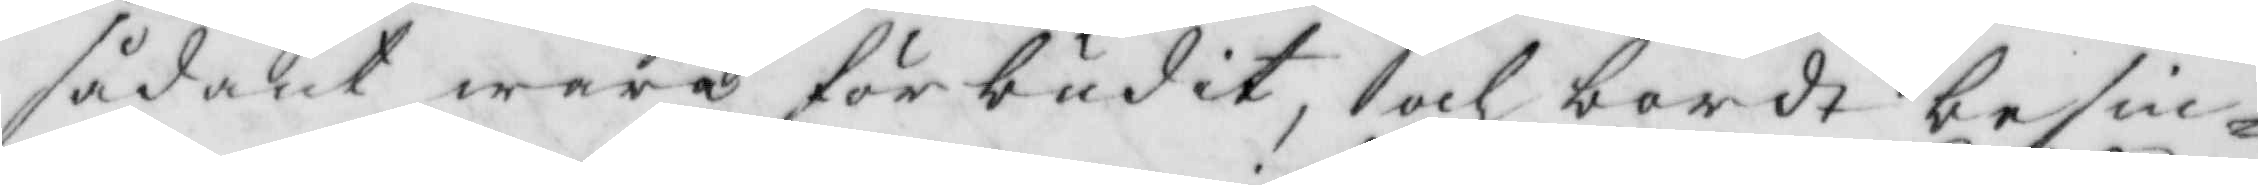sådant wara förbudit, och bordt besin¬
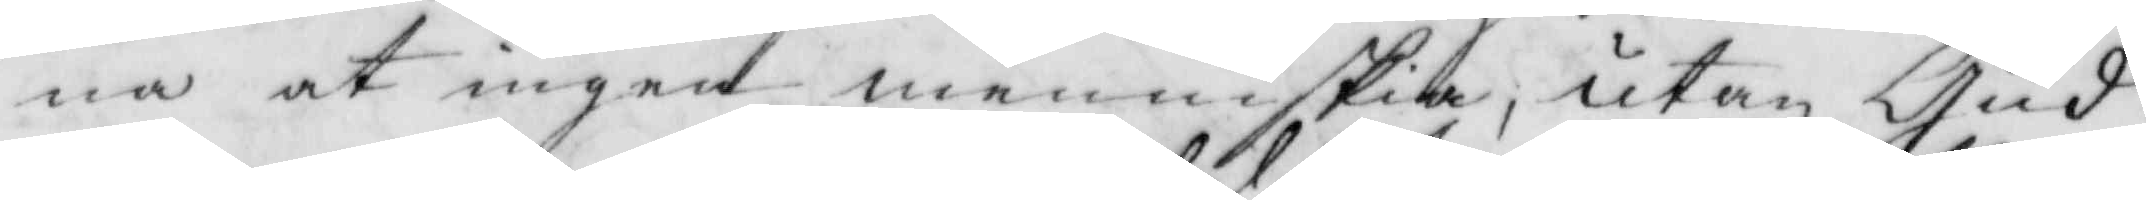na at ingen menniskia, utan Gud
